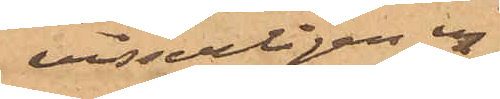visserligen ej
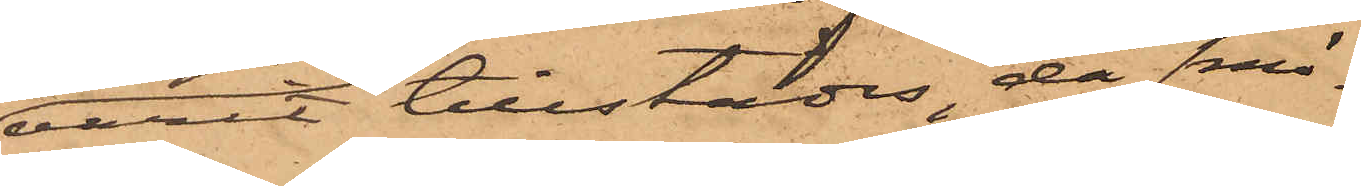varit tillstädes, då smö¬
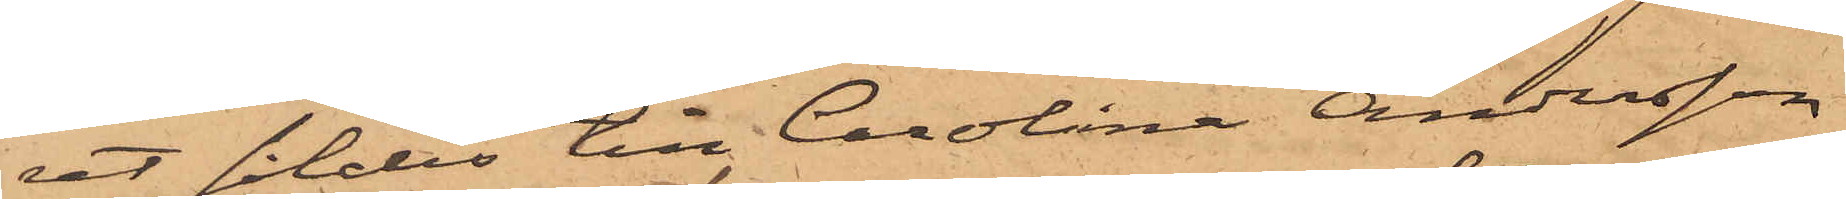ret såldes till Carolina Andersson
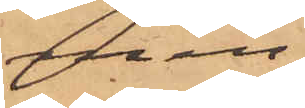men,
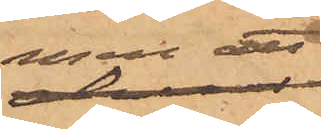men att
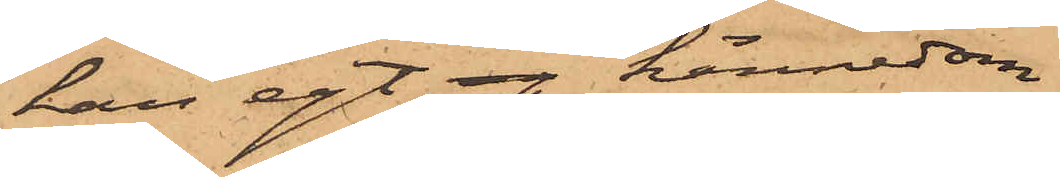han egt eg kännedom
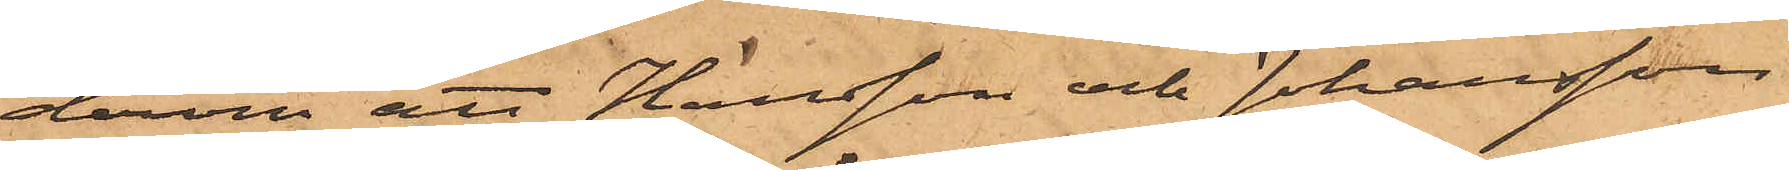derom att Hansson och Johansson
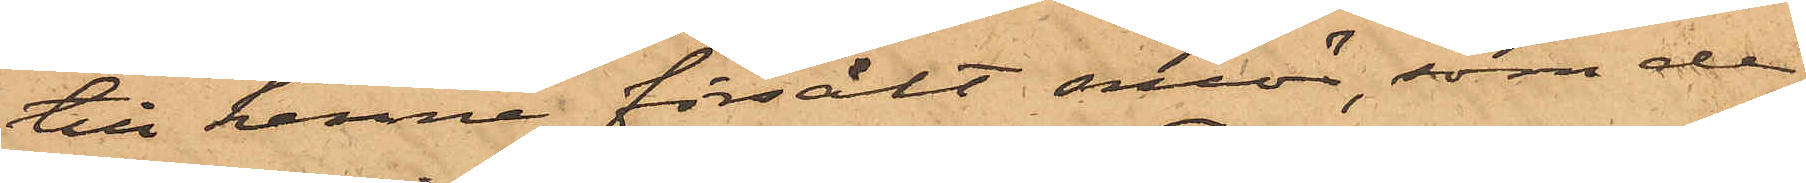till henne försålt smör, som de
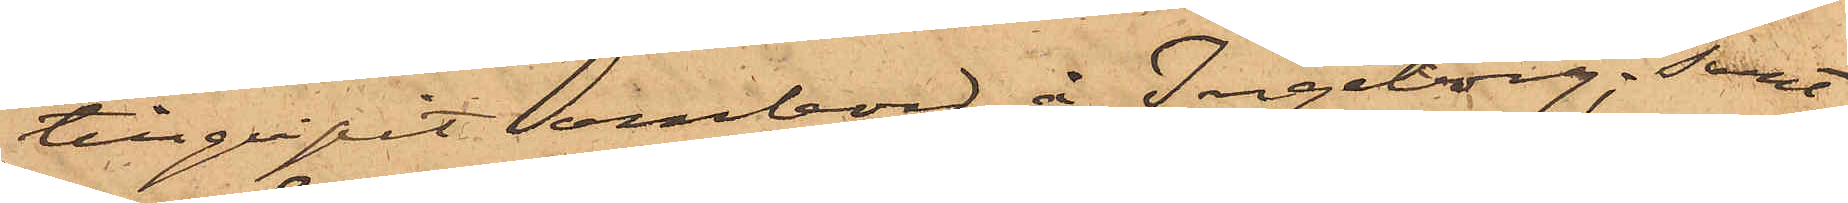tillgripit ombord å Ingeborg; samt
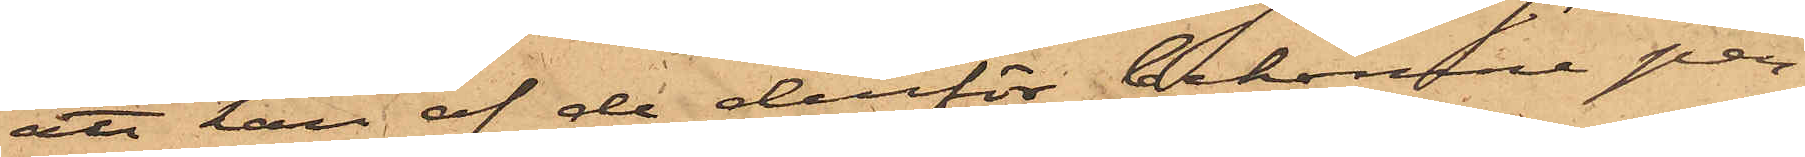att han af de derför bekomne pen¬
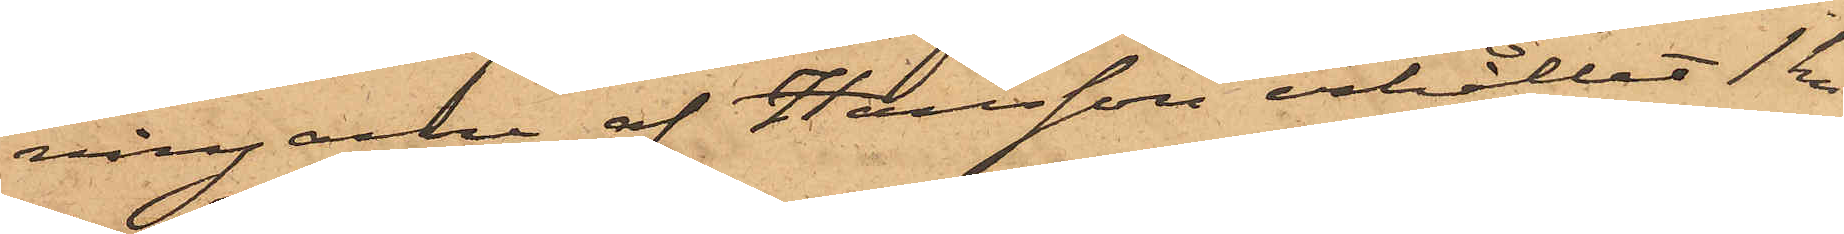ningarne af Hansson erhållit 1 kr
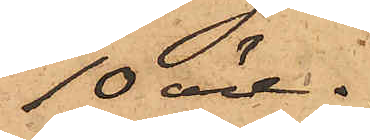10 öre.
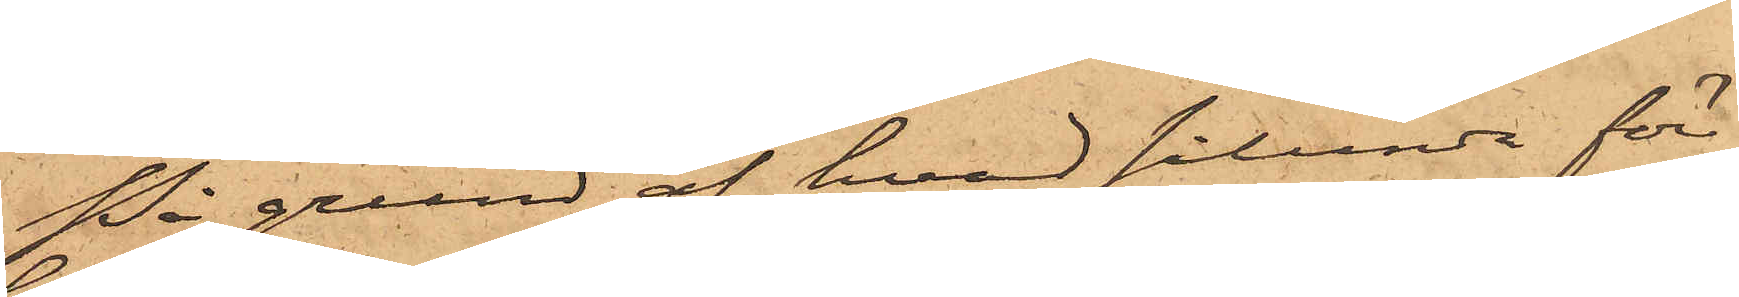På grund af hvad sålunda före¬
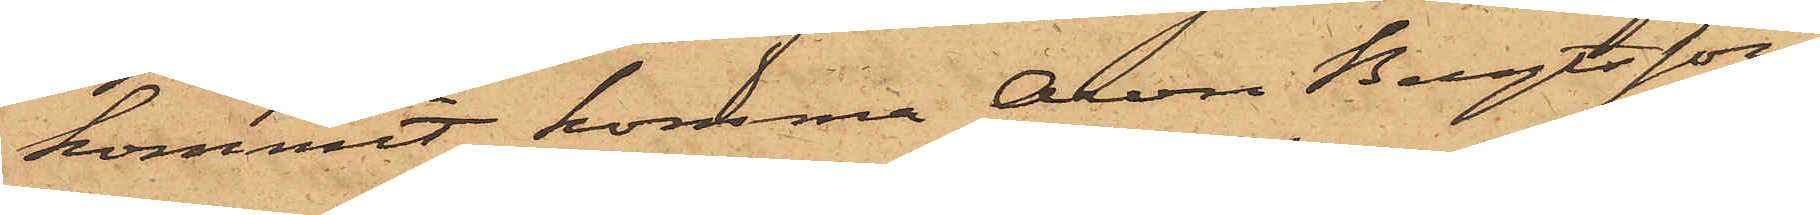kommit, komma Aron Bengtsson,
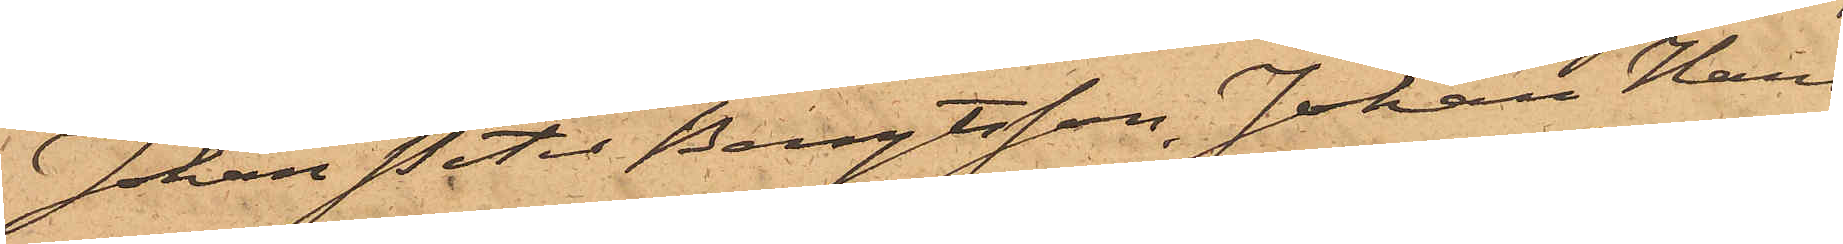Johan Peter Bengtsson, Johan Hans¬
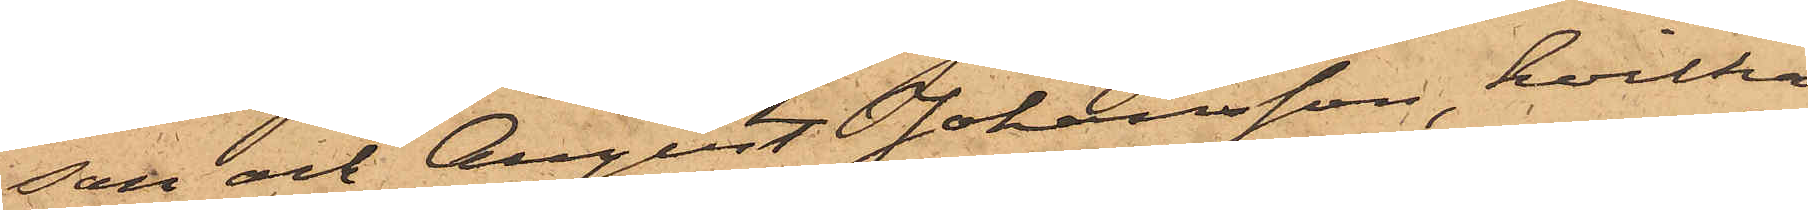son och August Johansson, hvilka
